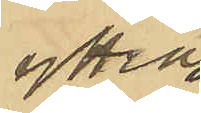yttrat:
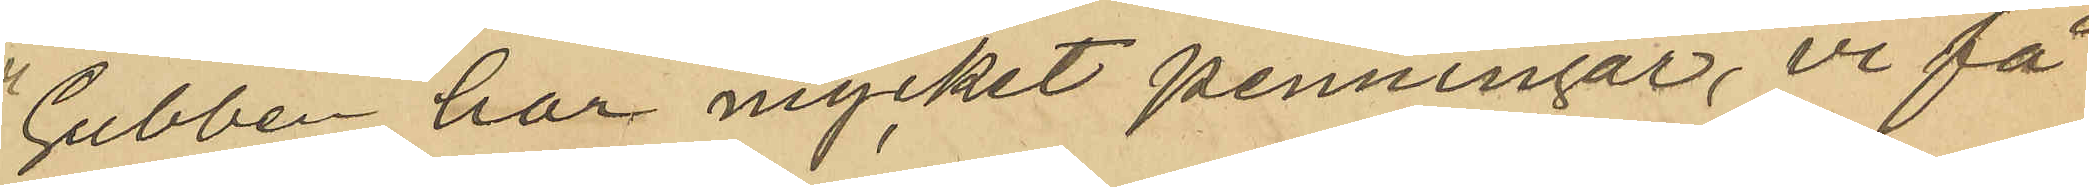"Gubben har mycket penningar, vi få
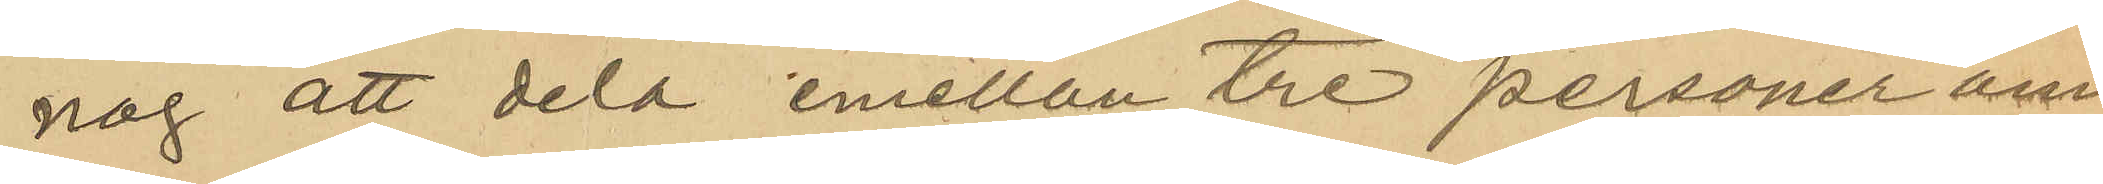nog att dela på tre personer om
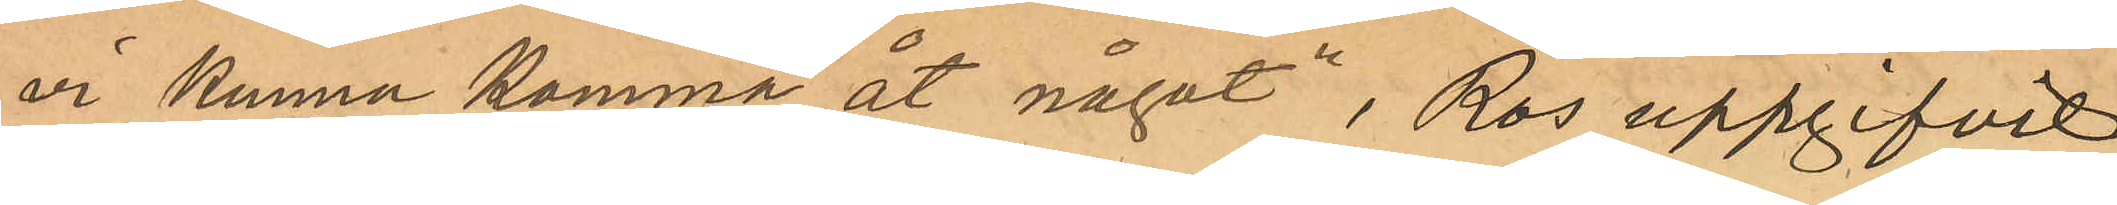vi kunna komma åt något", Ros uppgifvit
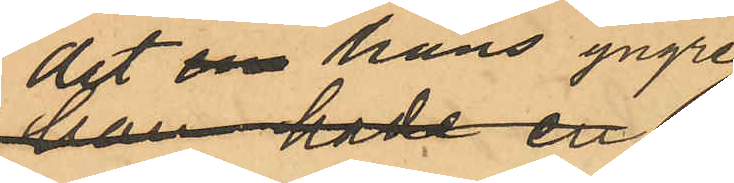det om hans yngre
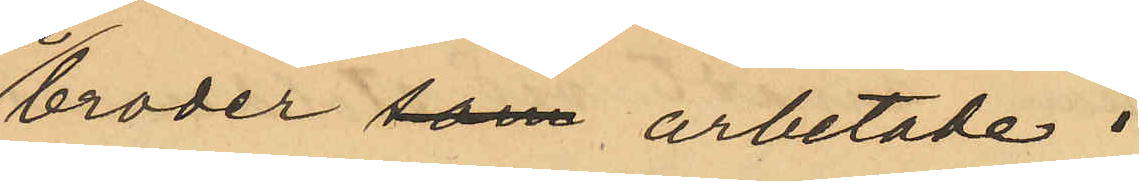broder som arbetade i
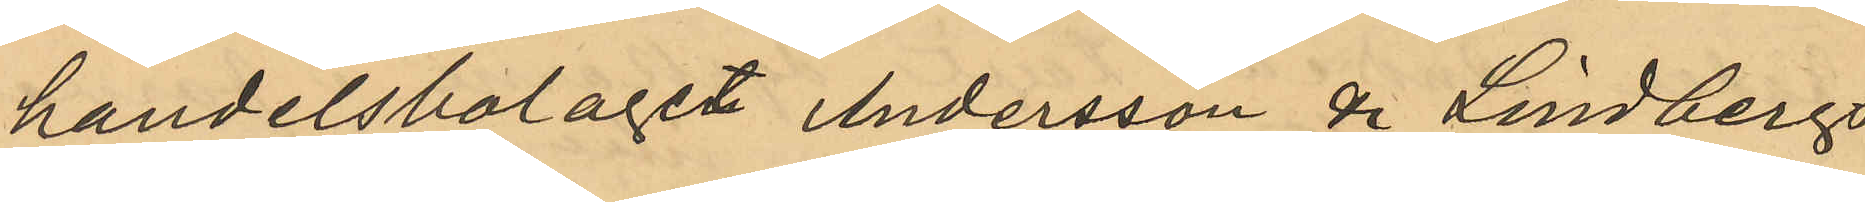handelsbolaget Andersson & Lindbergs
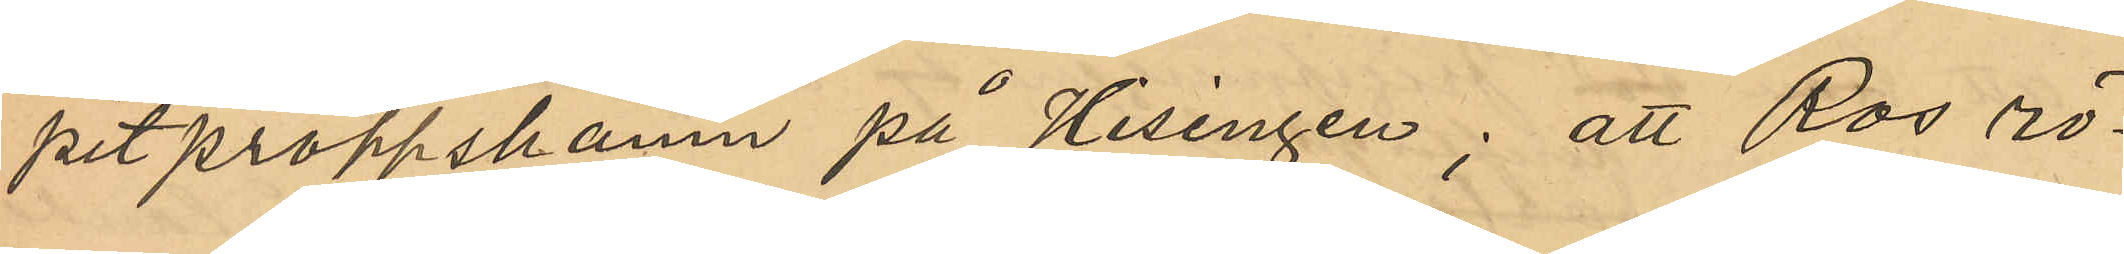pitproppshamn på Hisingen; att Ros rö¬
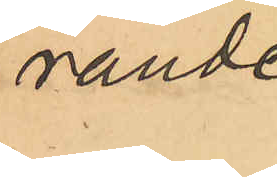rande
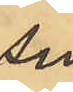sin
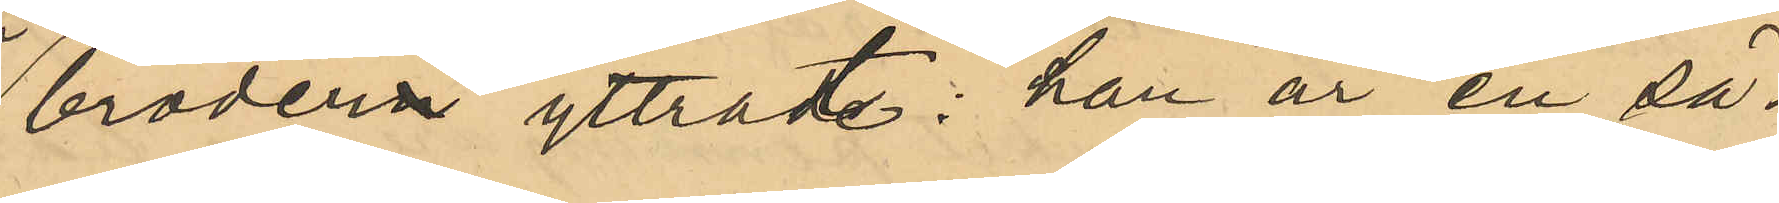brodern yttrat: "han är en sä¬
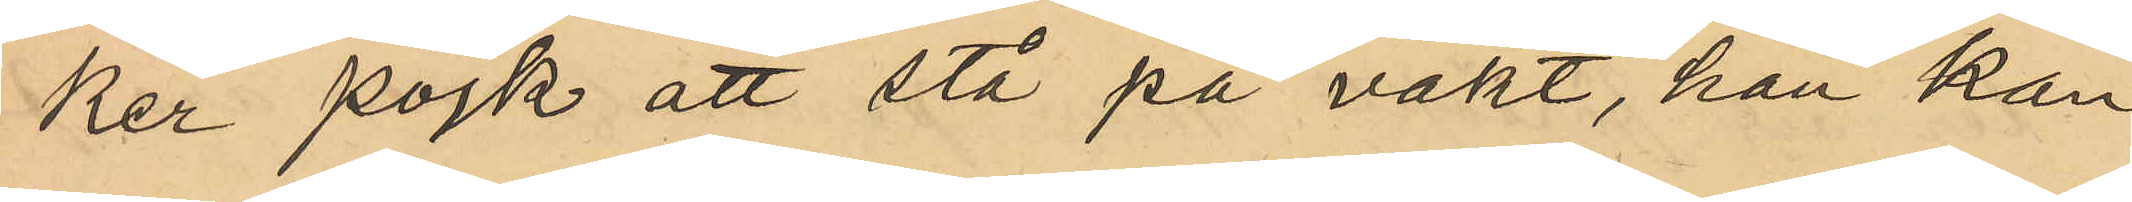ker pojke att stå på vakt, han kan
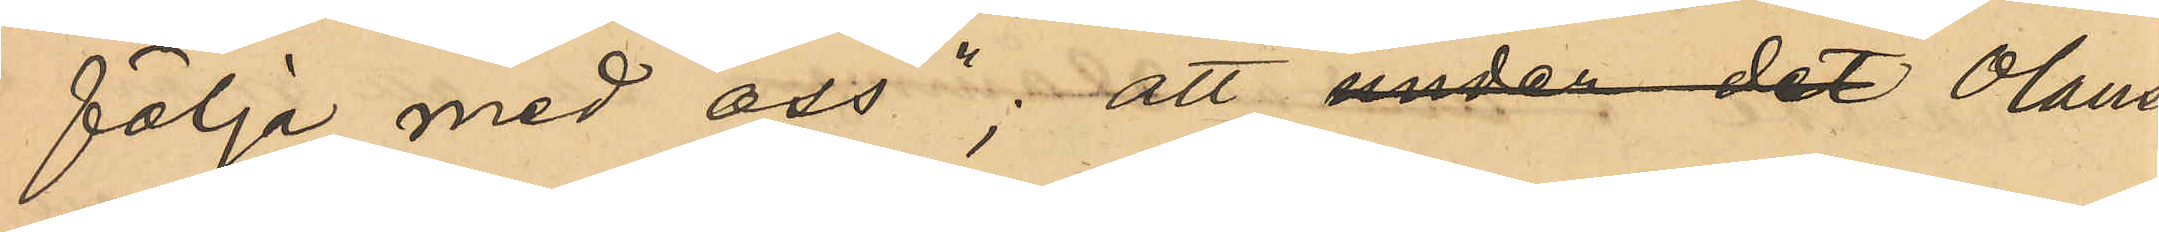följa med oss"; att under det Olaus¬
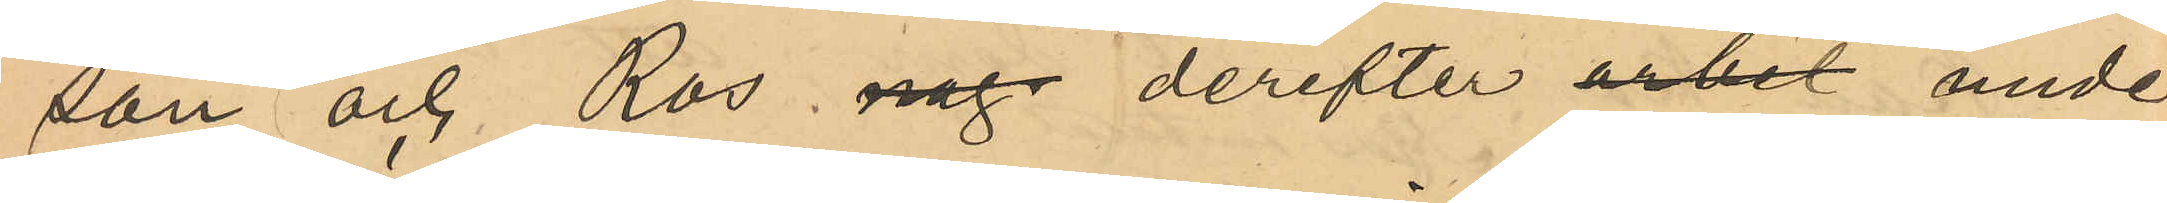son och Ros nog derefter arbet under
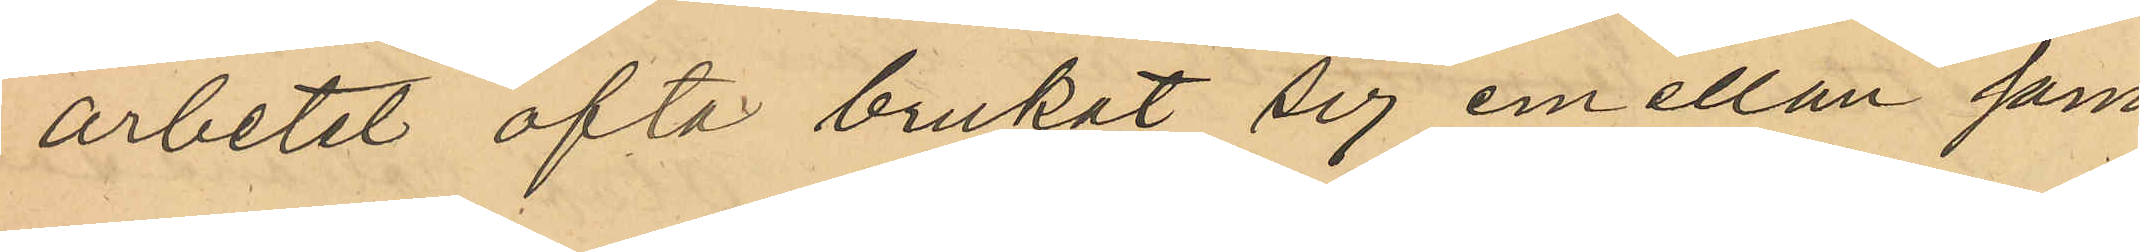arbetet ofta brukat sig emellan sam¬
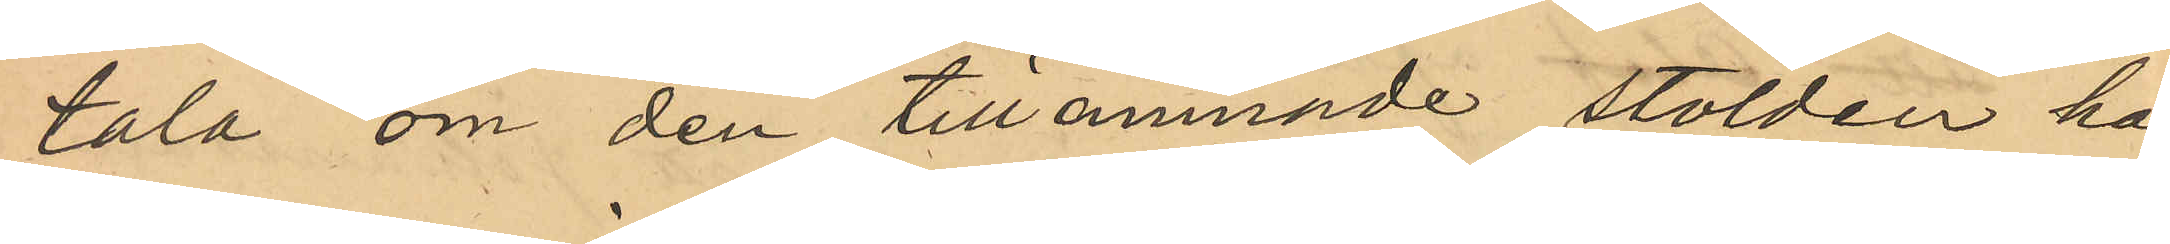tala om den tillnämnde stölden hos
